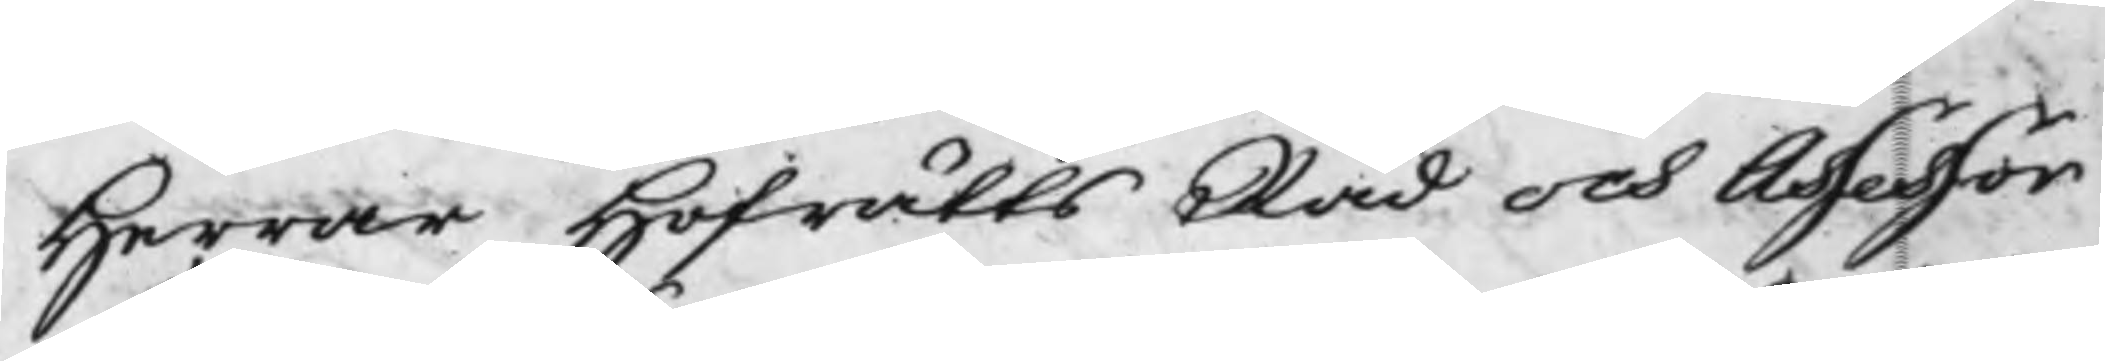Herrar Hofrätts Råd och Assessor
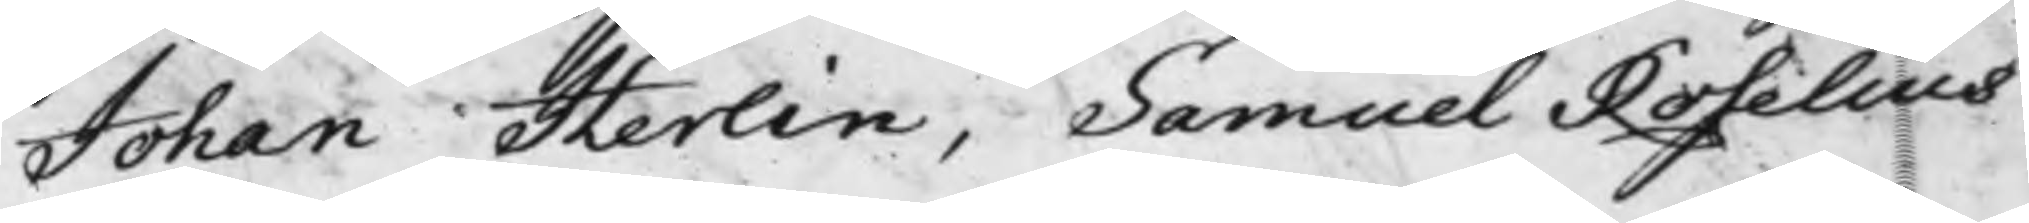Johan Herlin, Samuel Roselius
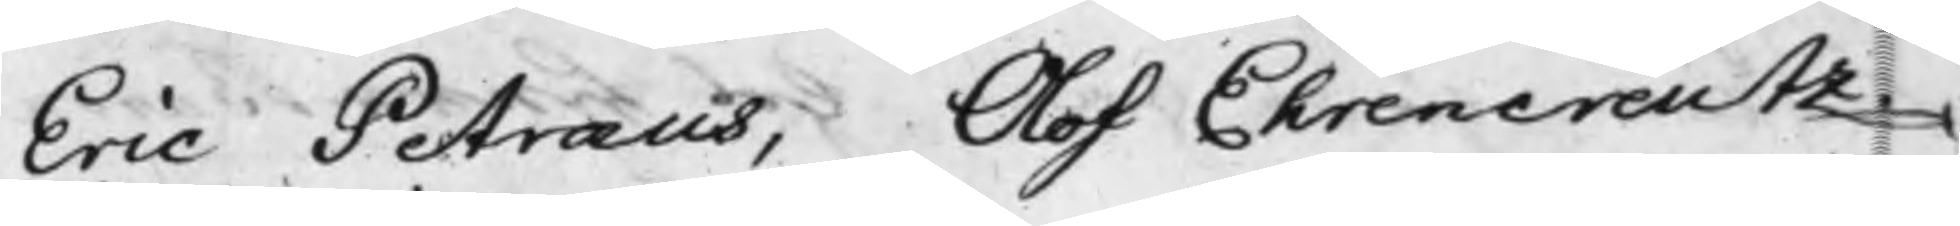Eric Petræus, Olof Ehrencreutz.
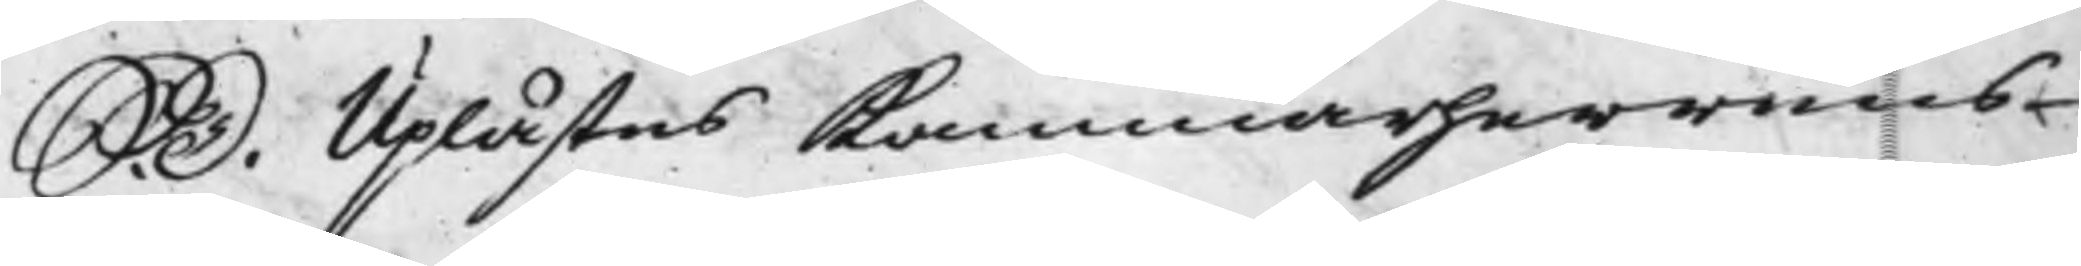S. D. Uplästes Kammarherrens
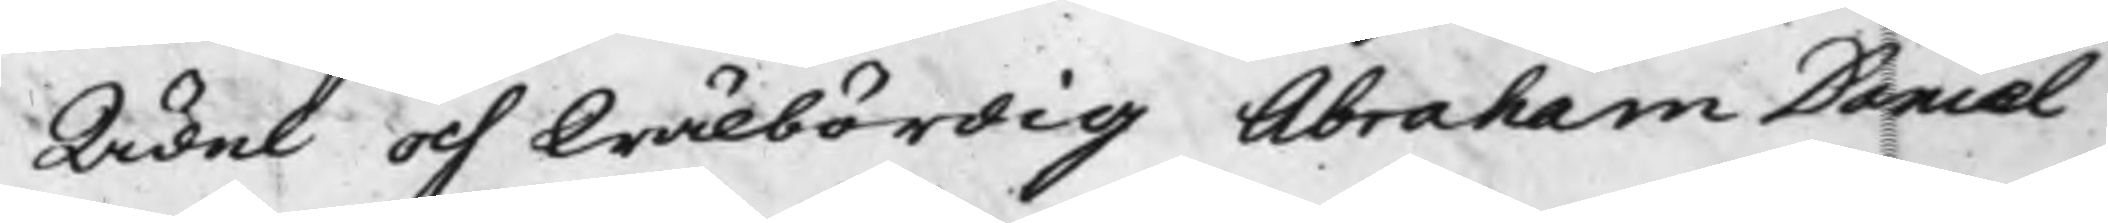Ädel och Wälbördig Abraham Daniel
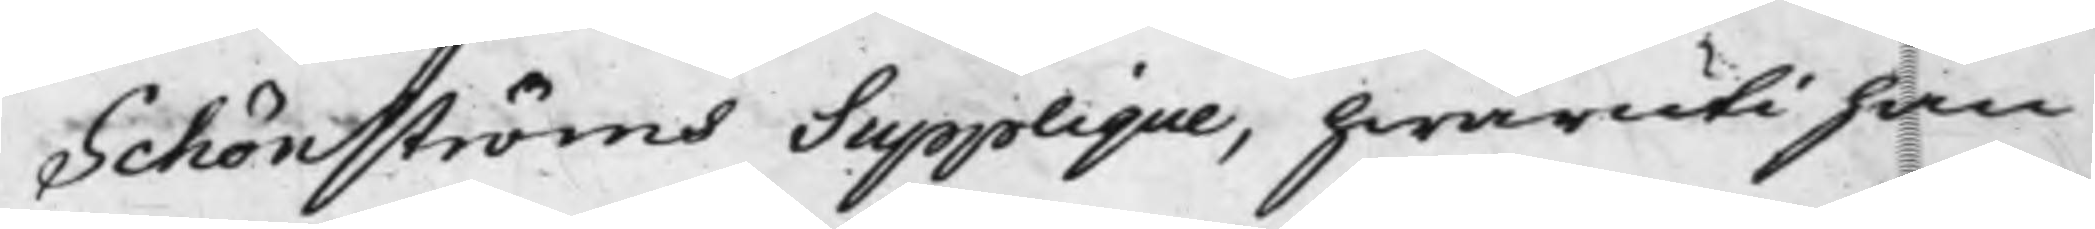Schönströms Supplique, hwaruti han
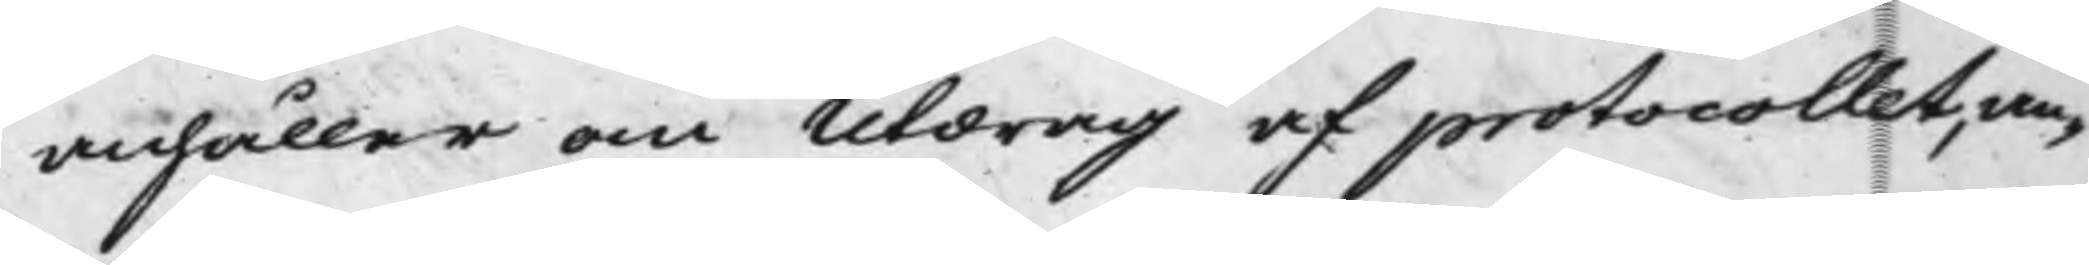anhåller om Utdrag af protocollet, an¬
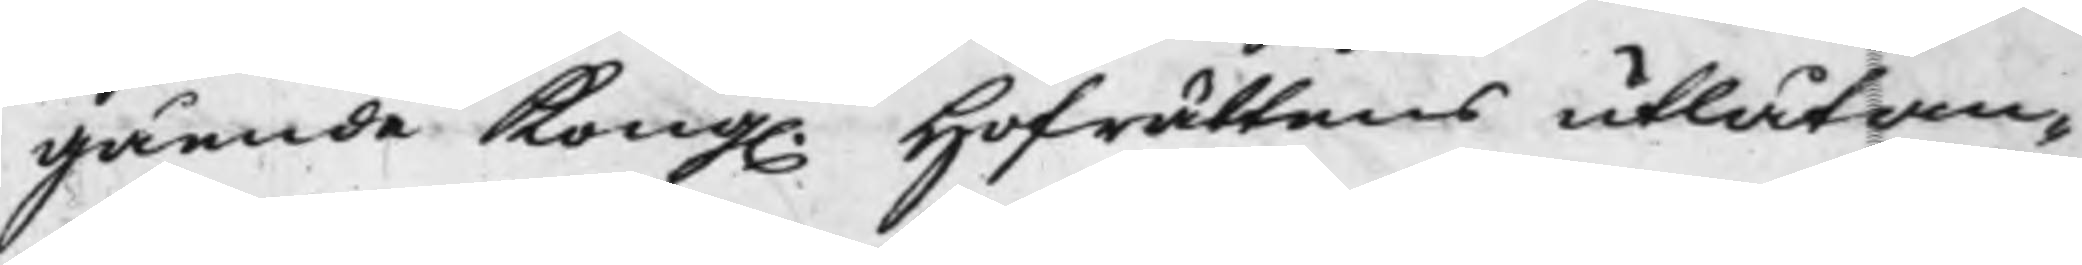gående Kong. Hofrättens utlåtan¬
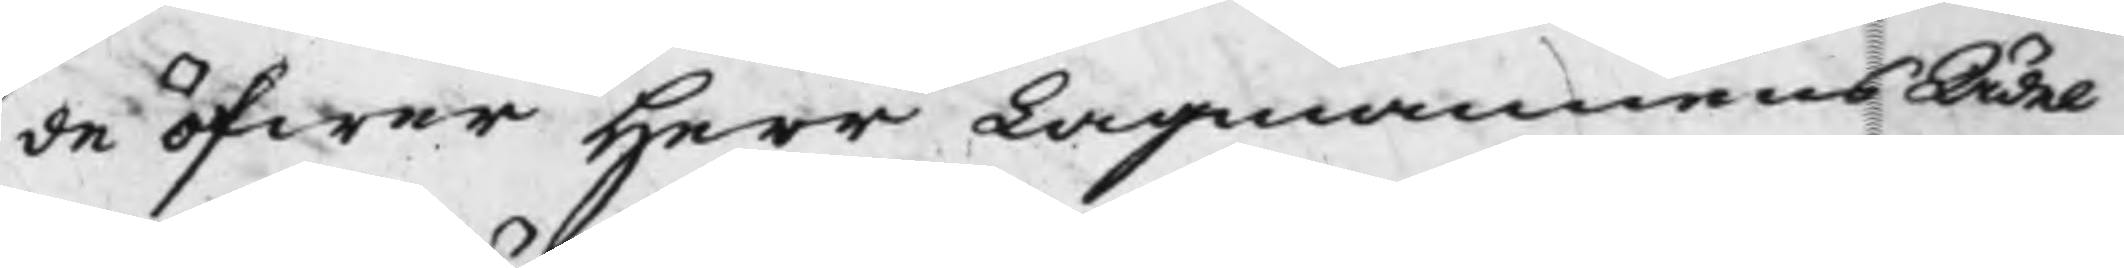de öfwer Herr Lagmannens Ädel
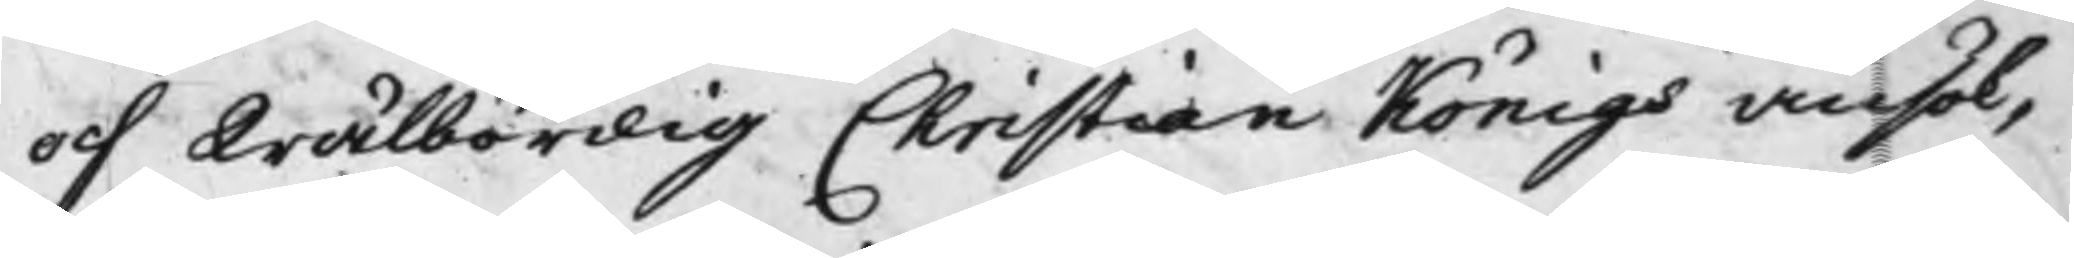och Wälbördig Christian Königs ansök¬
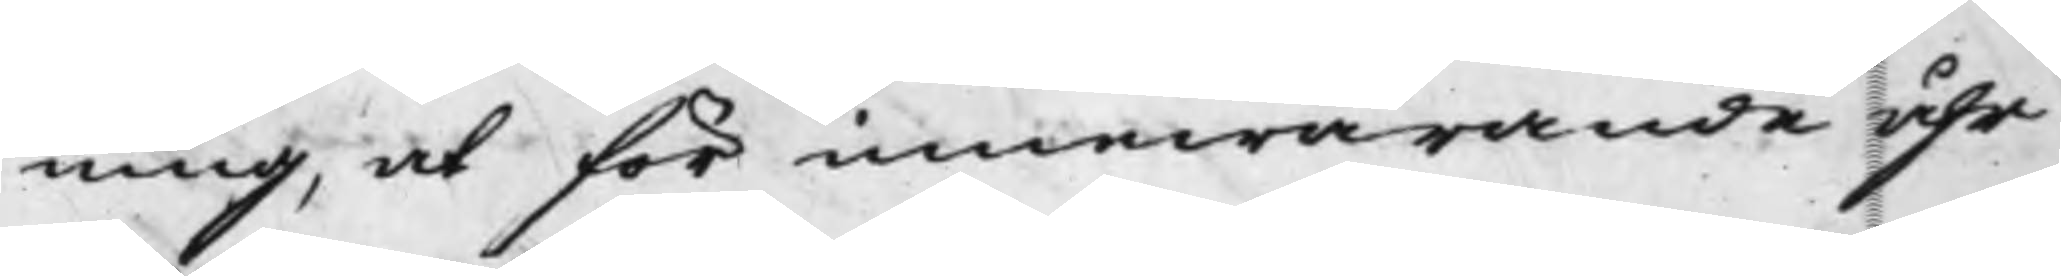ning, at för innewarande åhr
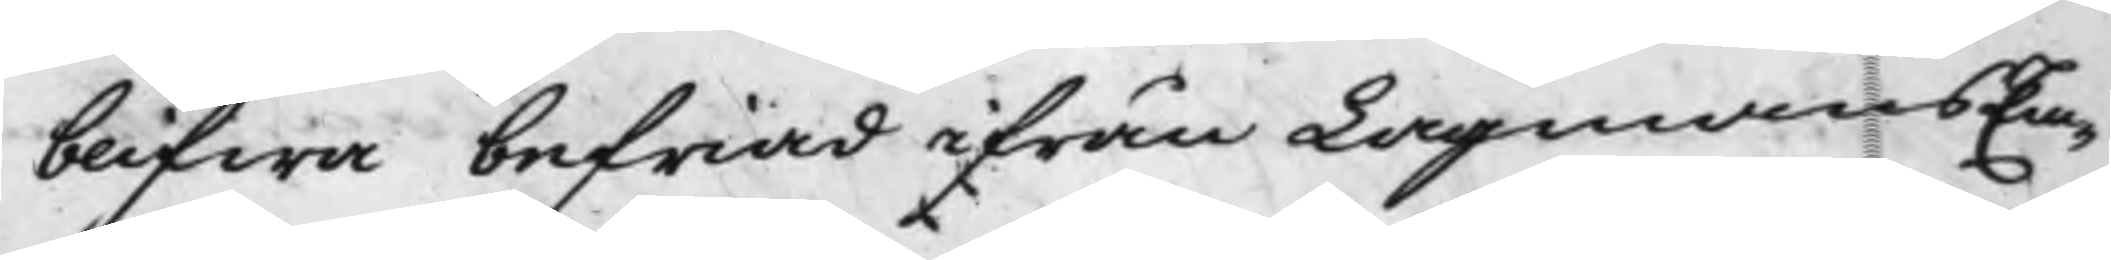blifwa befriad ifrån LagmansEm¬
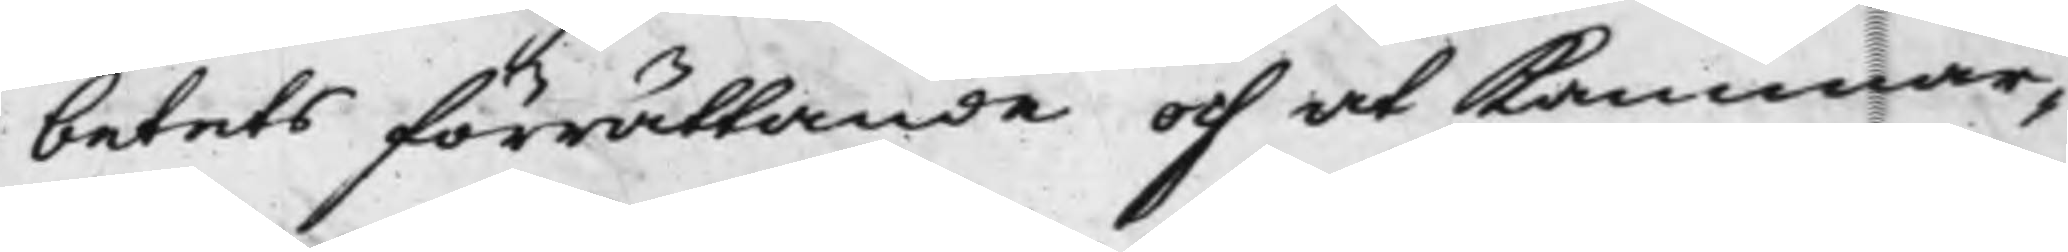betets förrättande och at Kammar¬
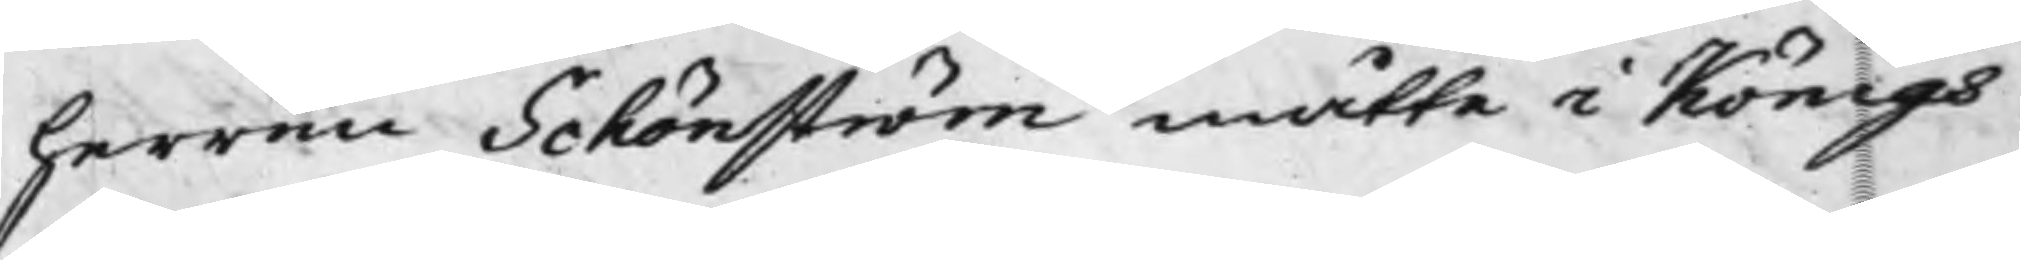herren Schönström måtte i Königs
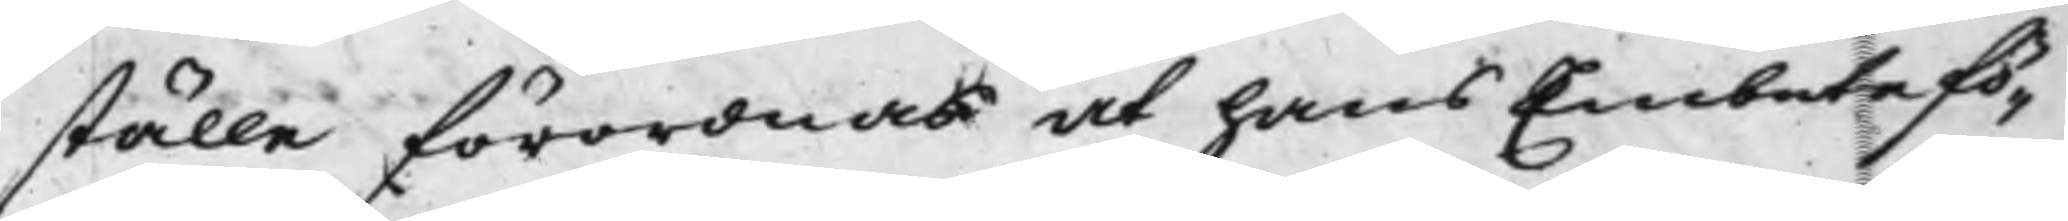ställe förordnas at hans Embete fö¬
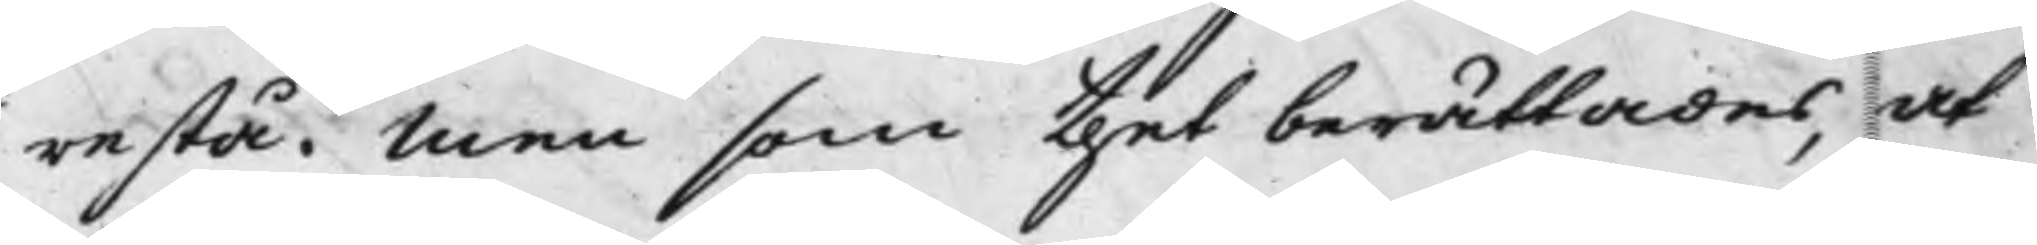restå, Men som thet berättades, at
